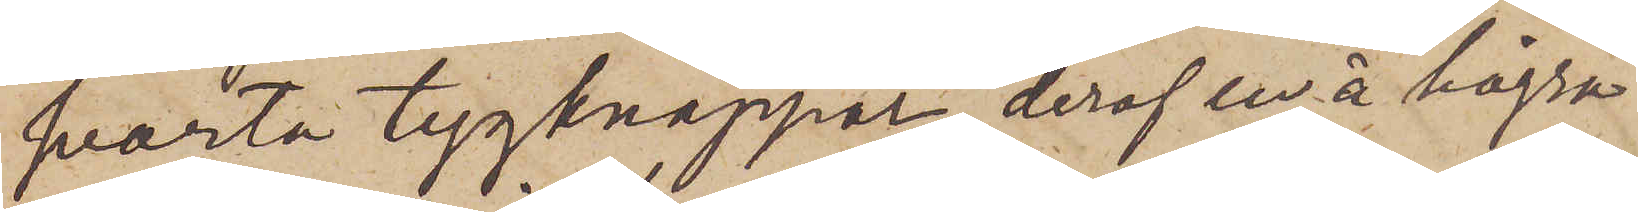svarta tygknappar, deraf en å högra
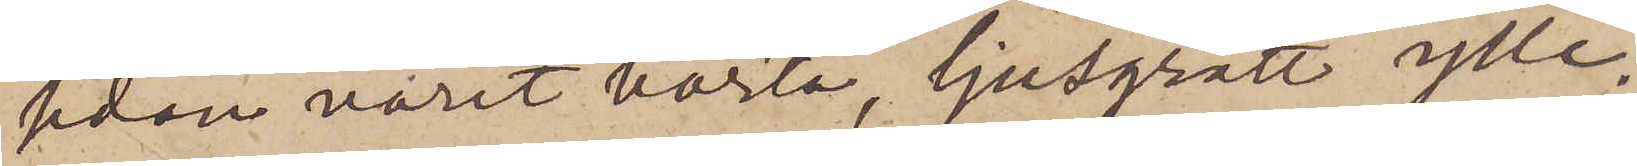sidan varit borta, ljusgrått ylle¬
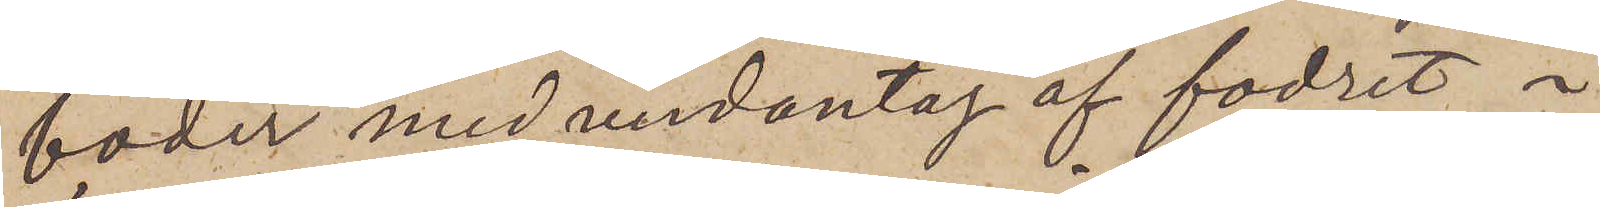foder med undantag af fodret i
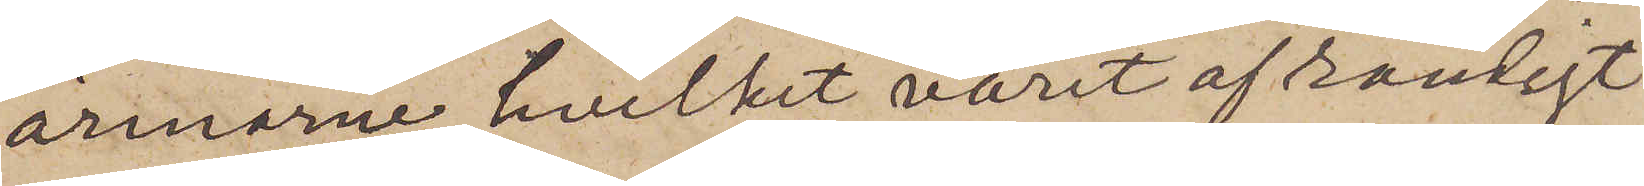ärmarne, hvilket varit af randigt
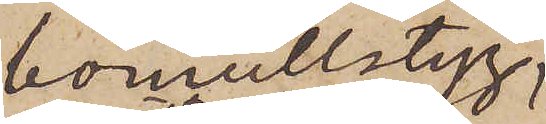bomullstyg;
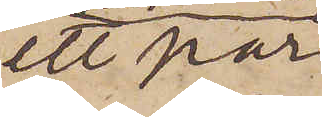ett par
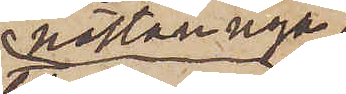nästan nya
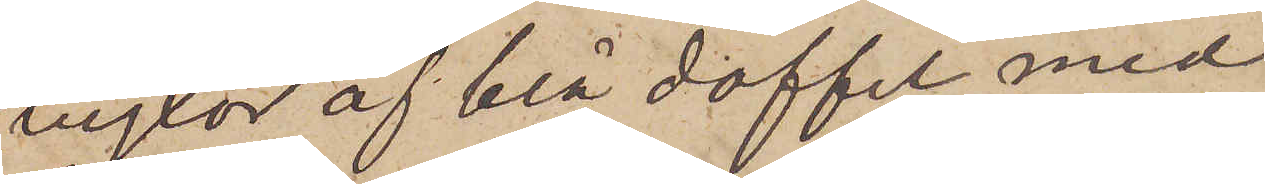byxor af blå doffel med
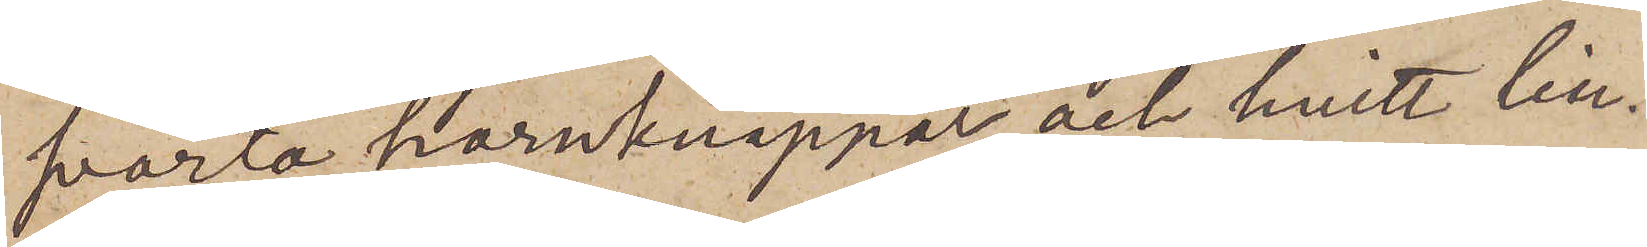svarta hornknappar och hvitt lin¬
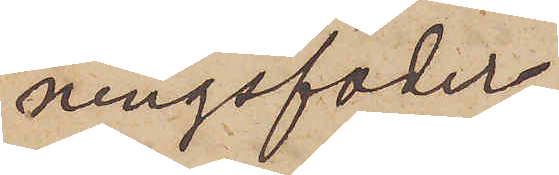ningsfoder;
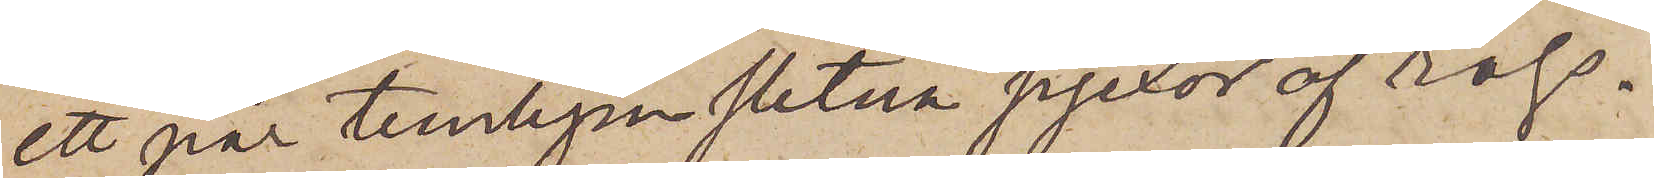ett par temligen slitna pjexor af ryss¬
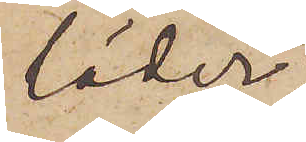läder;
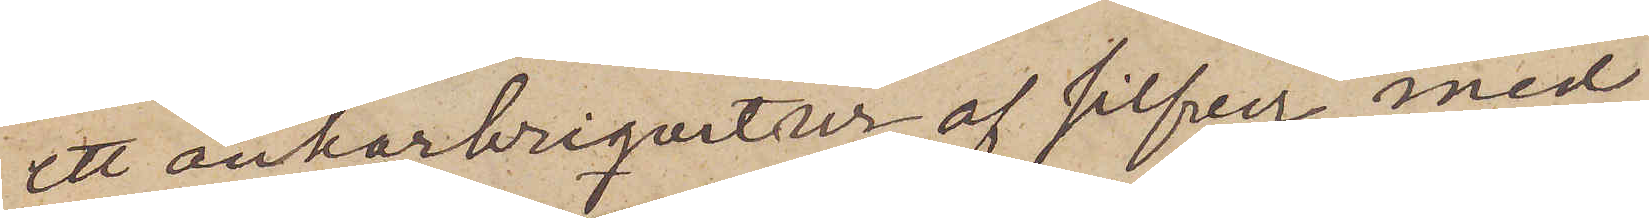ett ankarbriquetur af silfver med
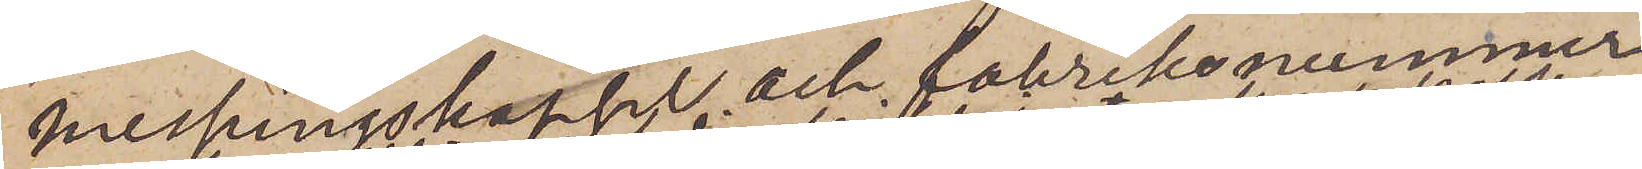messingskapsel och fabriksnummer
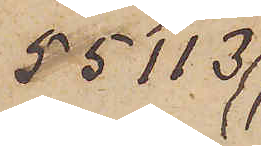55113
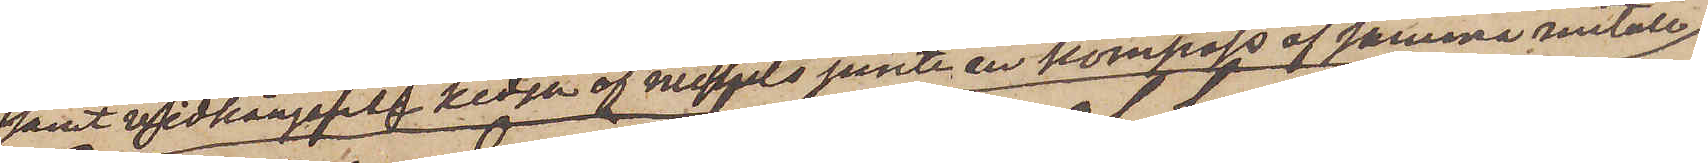samt vidhängande kedja af nickel jemte en kompass af samma metall;
